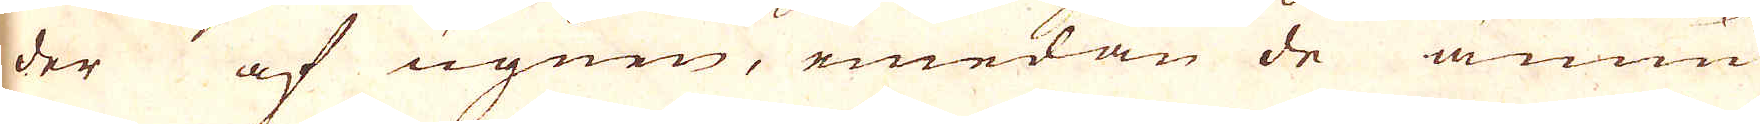der af ugnen, emedan de ännu
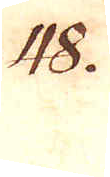48.
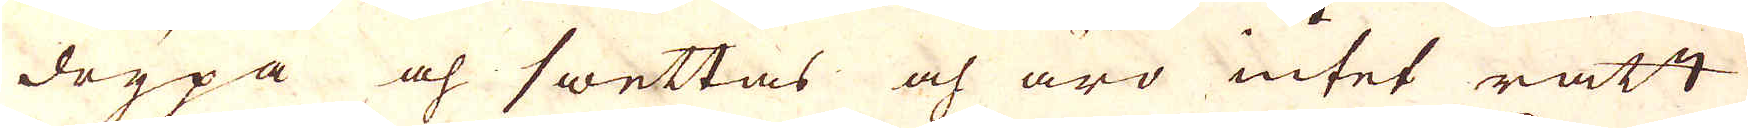drypa och swarttas och äro intet rätt
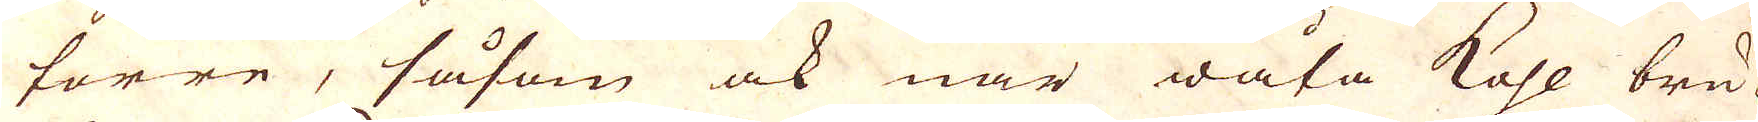torre, såsom ock när wåta kohl bru-
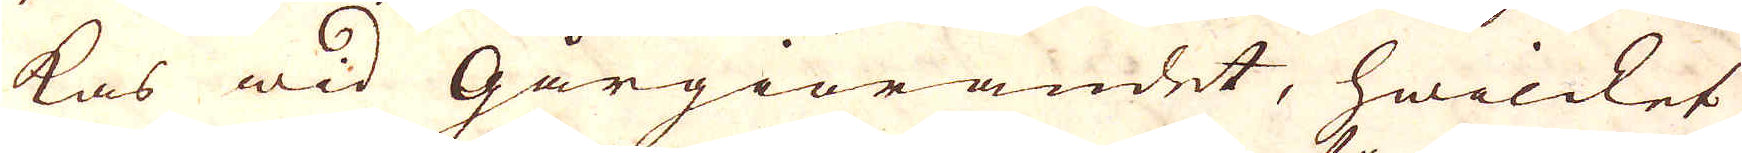kas wid Gårgiörandet, hwilcket
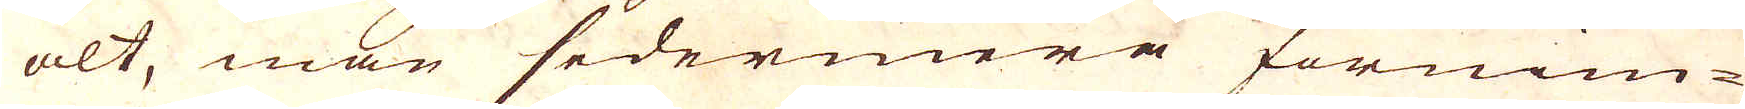alt, man sedermera förnim-
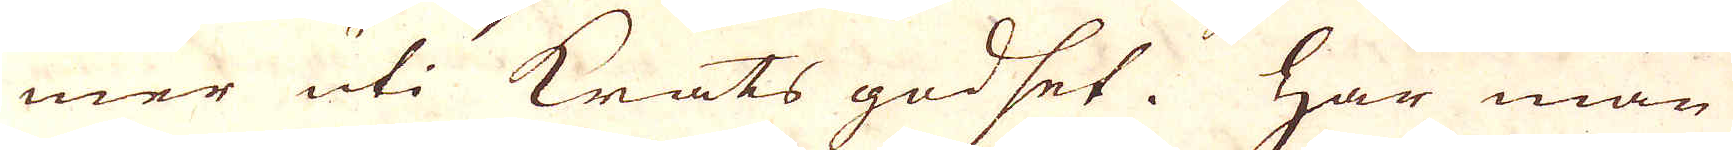mer uti Krats godset. Har man
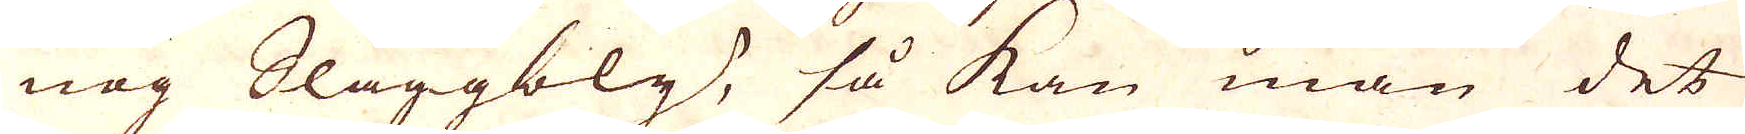nog Slaggbly, så kan man det
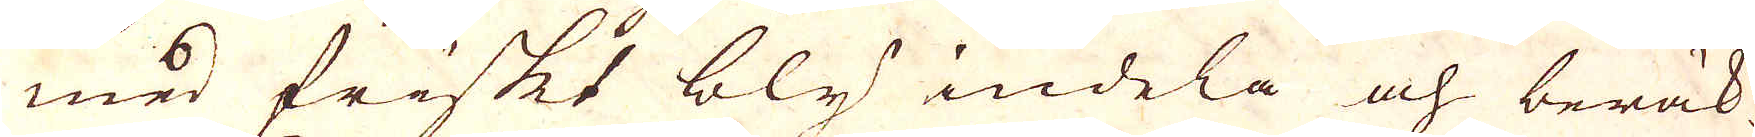med friskt bly indela och beräk-
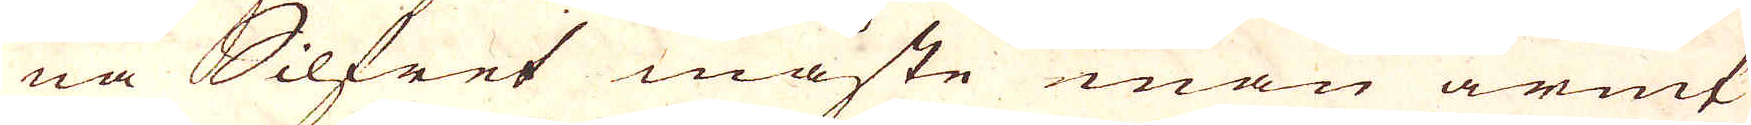na Silfret måste man armt
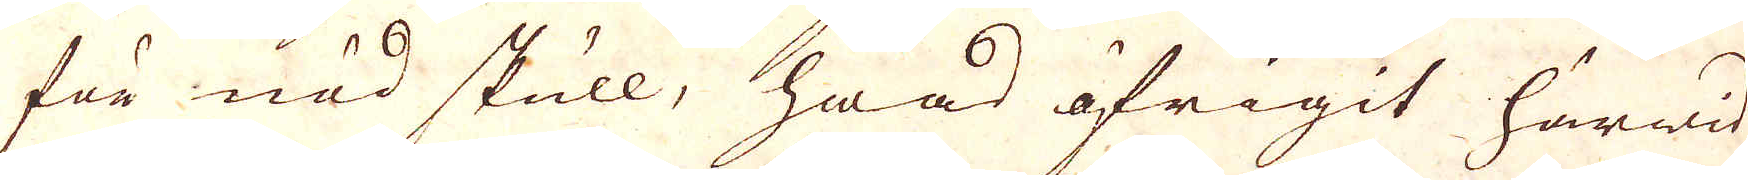för nöd skull, hwad öfrigit härwid
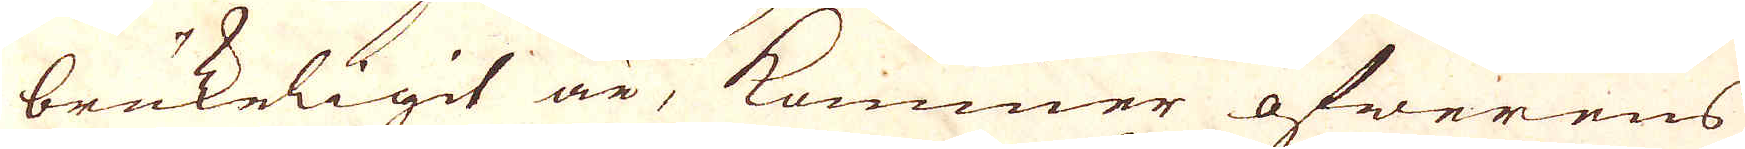brukeligit är, kommer öfwerens
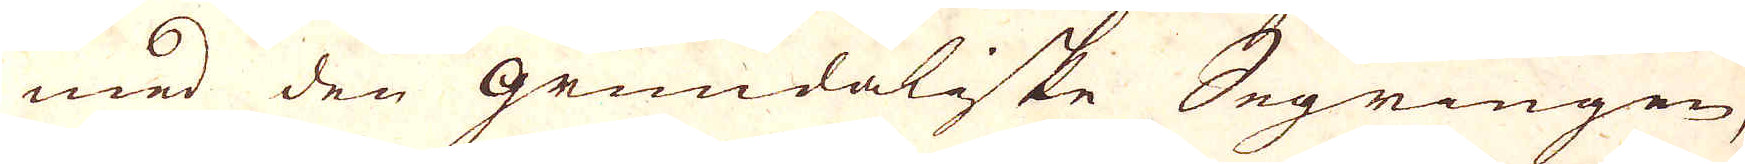med den Grundaliske Segringen,
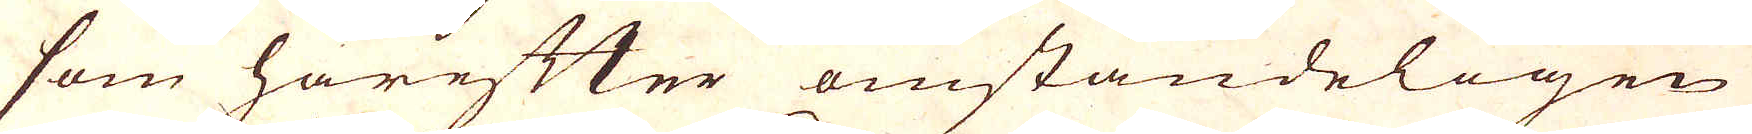som härefter omständeligen
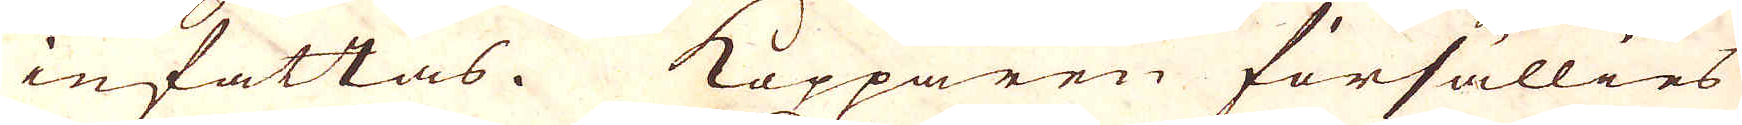infattas. Kopparen försällies
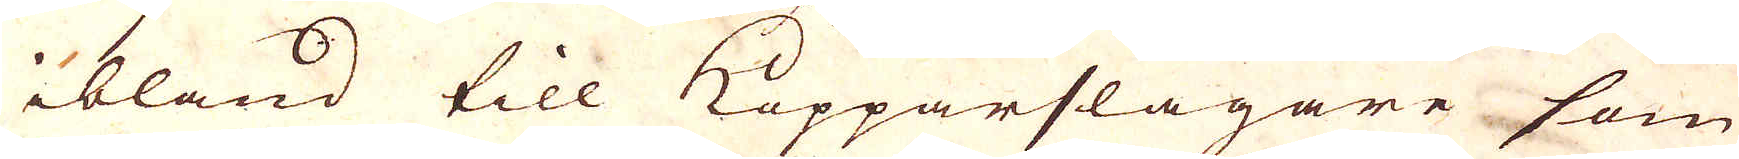ibland till Kopparslagare som
